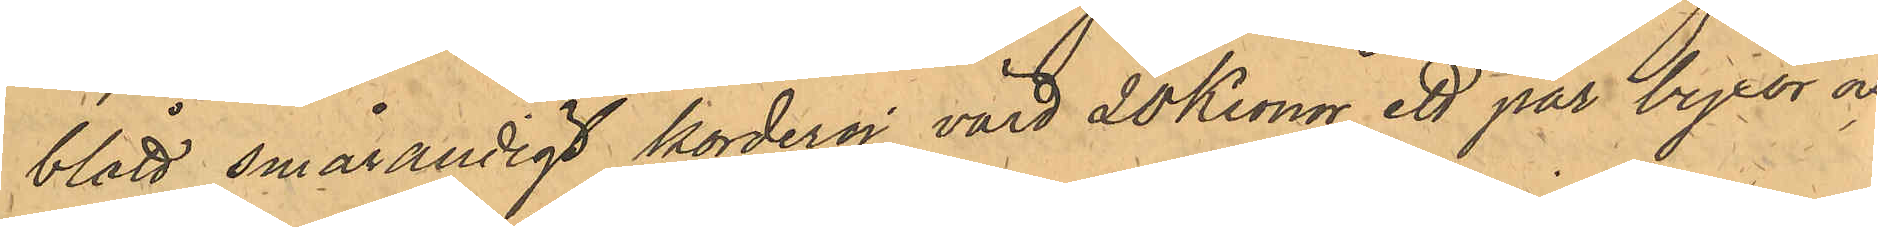blått smårandigt korderoj, värd 20 Kronor, ett par byxor och
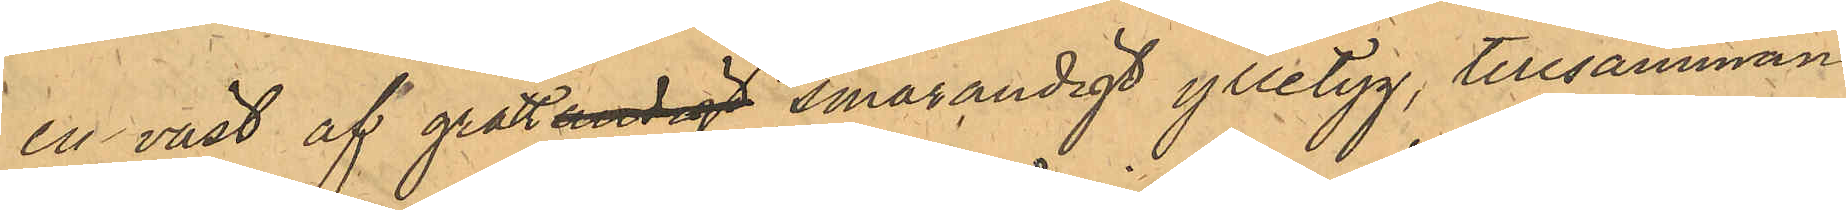en väst af grått randigt smårandigt ylletyg, tillsammans
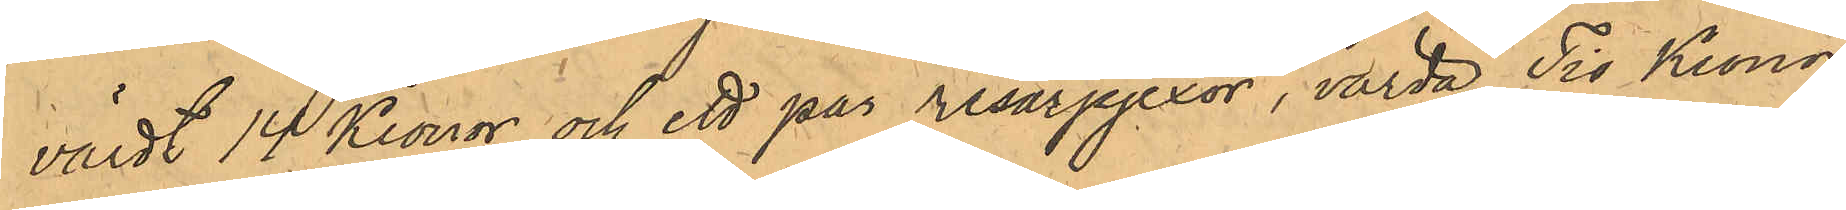värdt 14 Kronor och ett par resårpjexor, värda Tio Kronor.
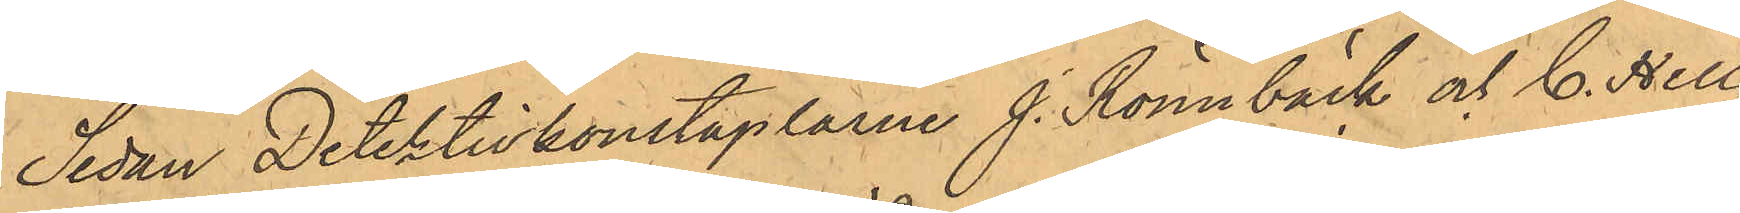Sedan Detektivkonstaplarne J. Rönnbäck och C. Hell¬
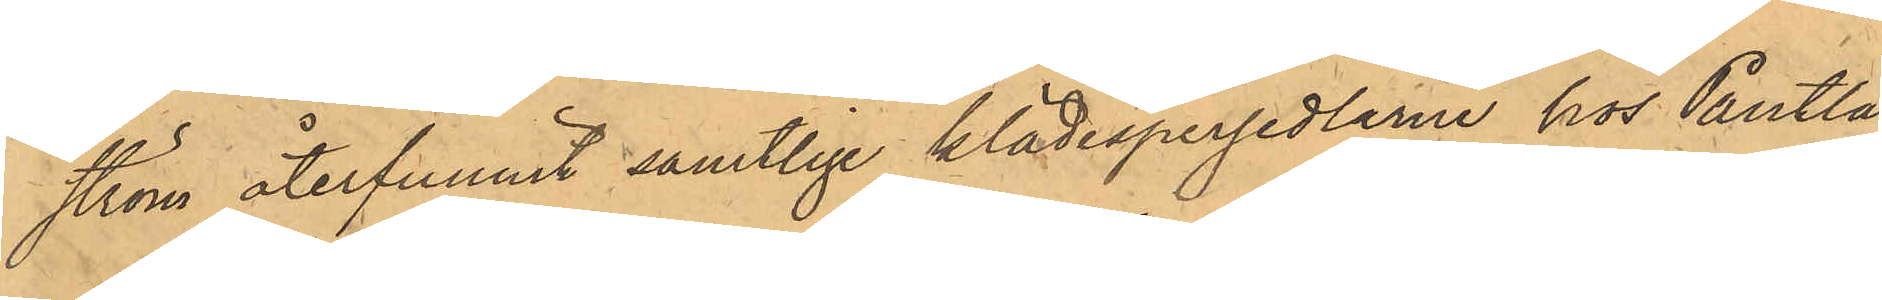ström återfunnit samtlige klädespersedlarne hos Pantlå¬
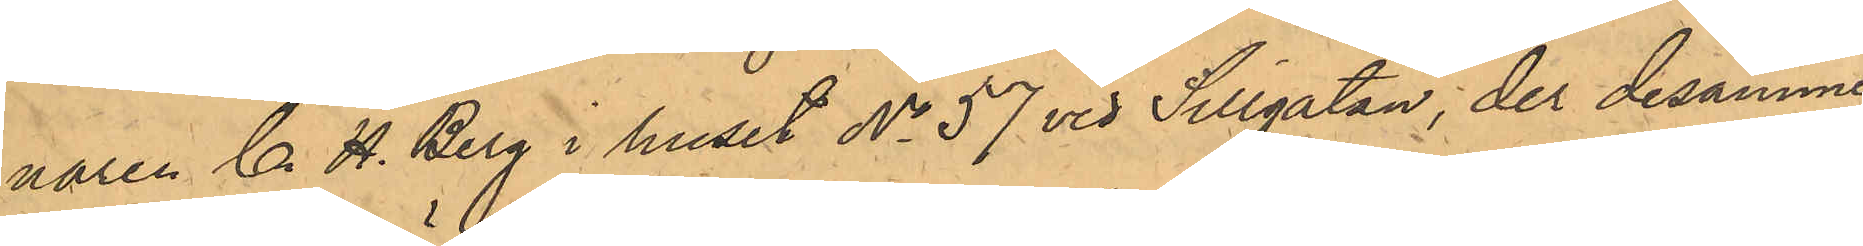naren C. H. Berg i huset No 57 vid Sillgatan; der desamme
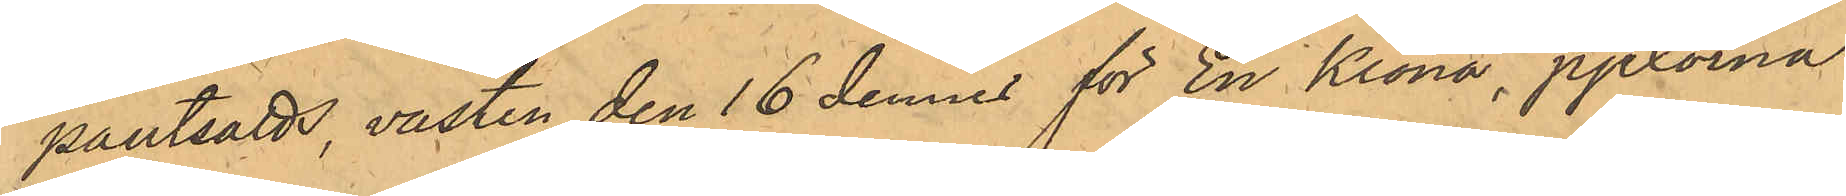pantsatts, västen den 16 dennes för En Krona, pjexorna
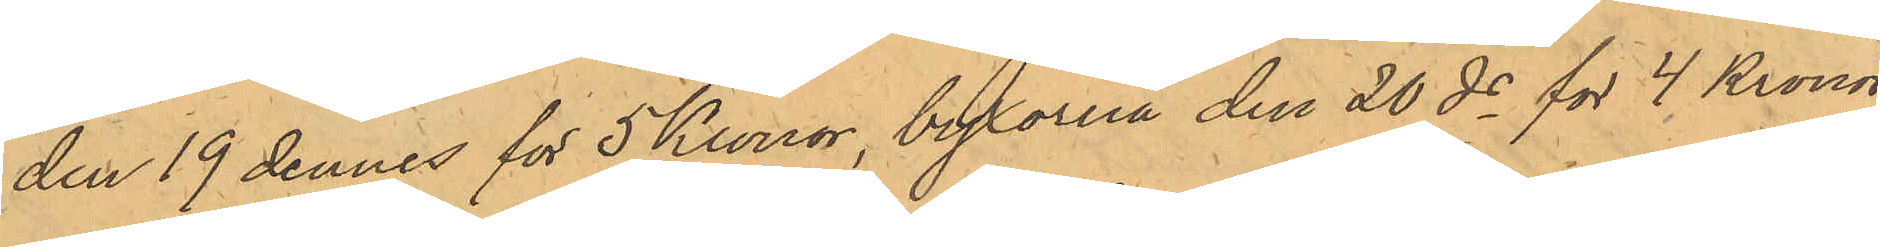den 19 dennes för 5 Kronor, byxorna den 20 ds för 4 Kronor
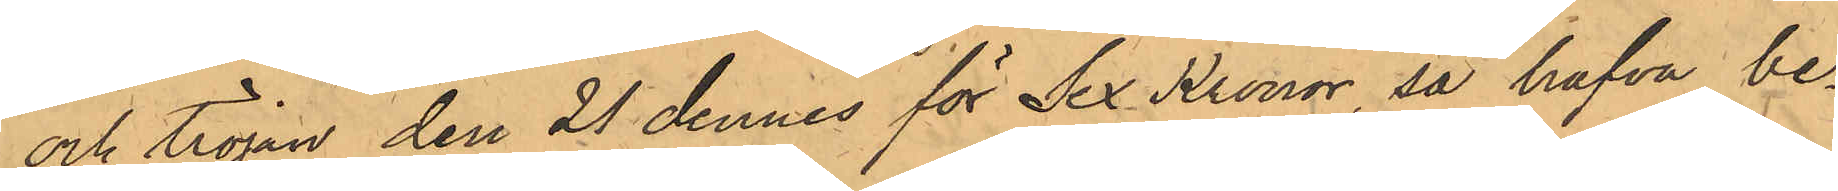och tröjan den 21 dennes för Sex Kronor, så hafva be¬
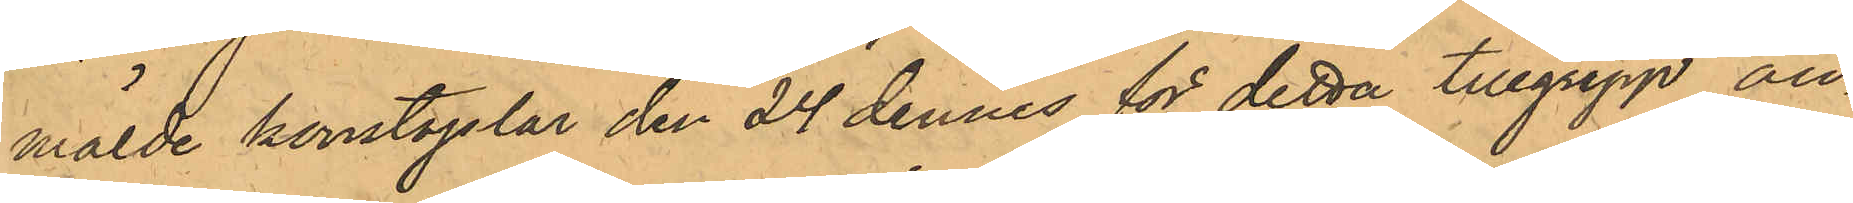mälde konstaplar den 24 dennes för detta tillgrepp an¬
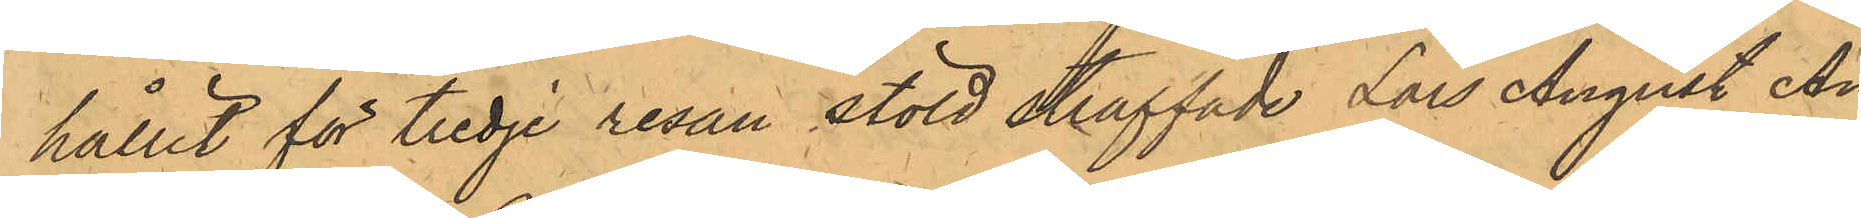hållit för tredje resan stöld straffade Lars August An¬
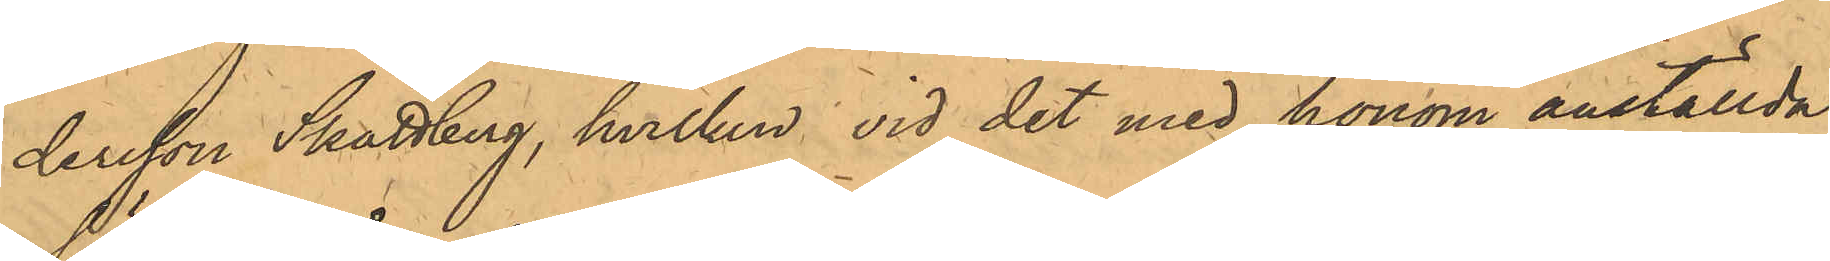dersson Skattberg, hvilken vid det med honom anställda
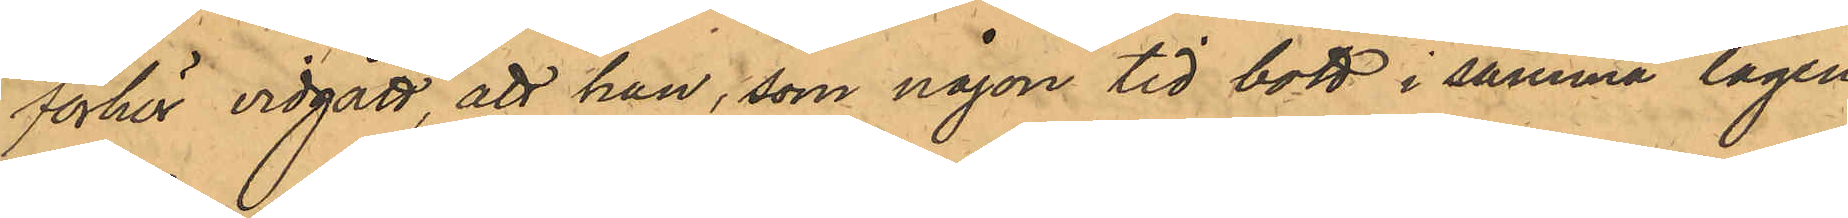förhör vidgått, att han, som någon tid bott i samma lägen¬
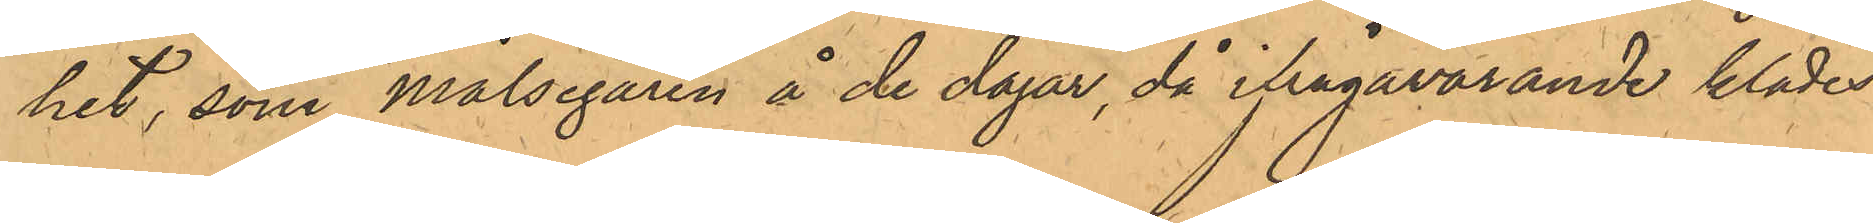het, som Målsegaren å de dagar, då ifrågavarande klädes¬
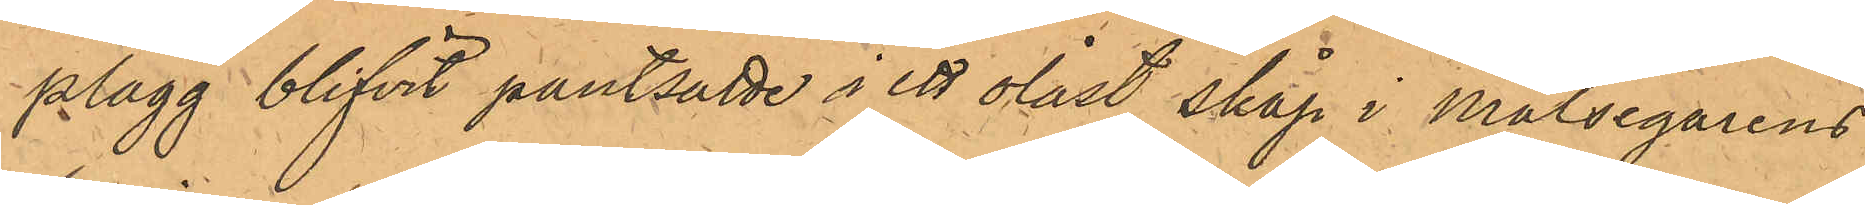plagg blifvit pantsatte i ett olåst skåp i Målsegarens
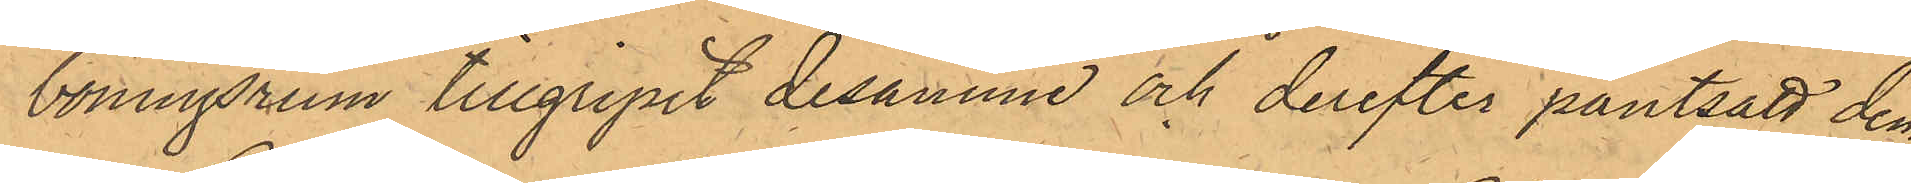boningsrum tillgripit desamme och derefter pantsatt dem
